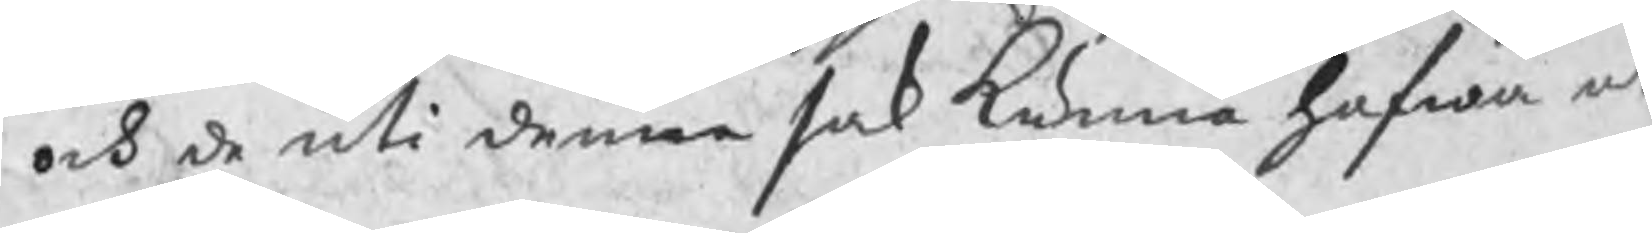och de uti denne sak kunna hafwa at
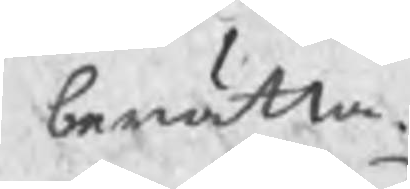berätta.
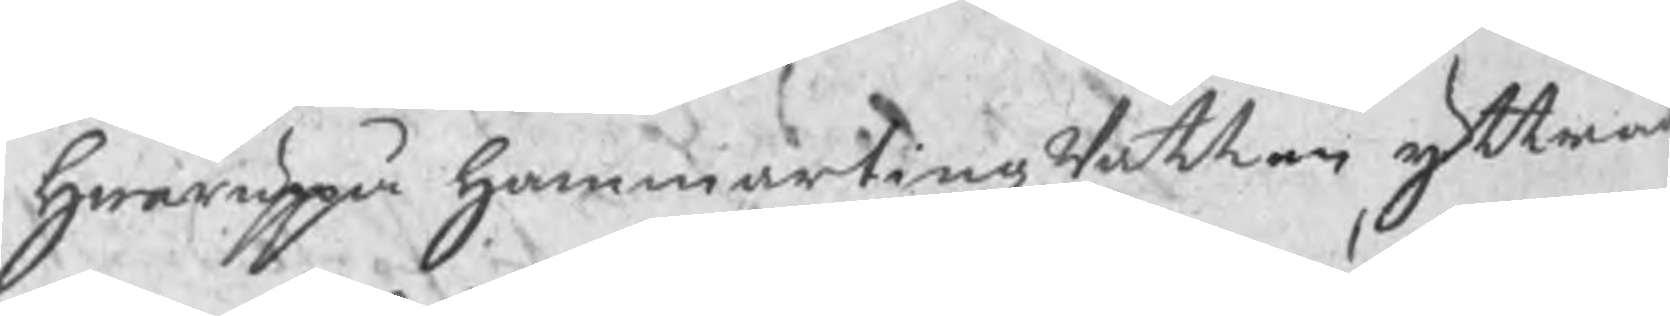Hwaruppå HammartingzRätten yttrad
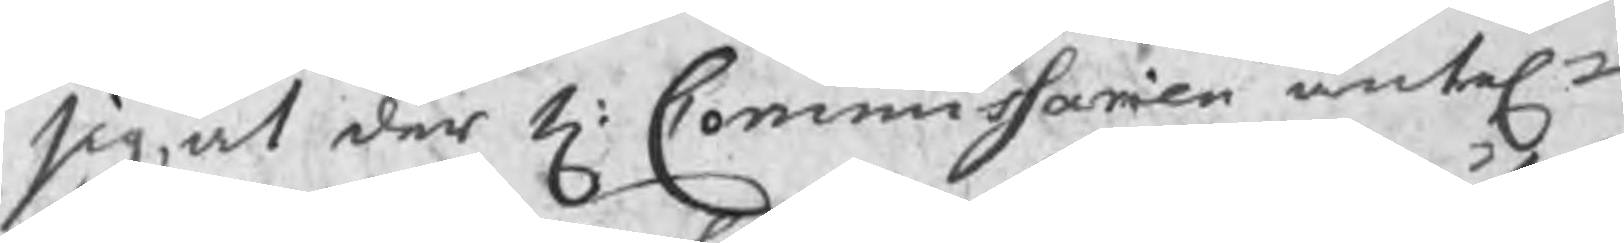sig, at der H: Commissarien äntel
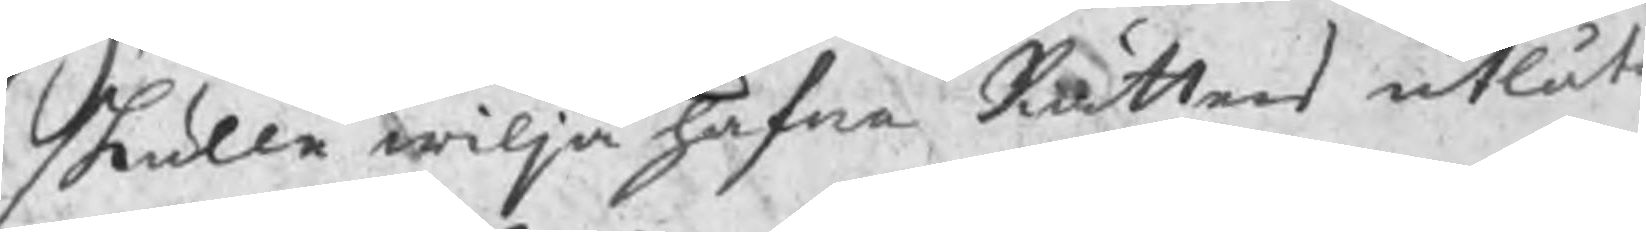skulle wilja hafwa Rättens utlåt
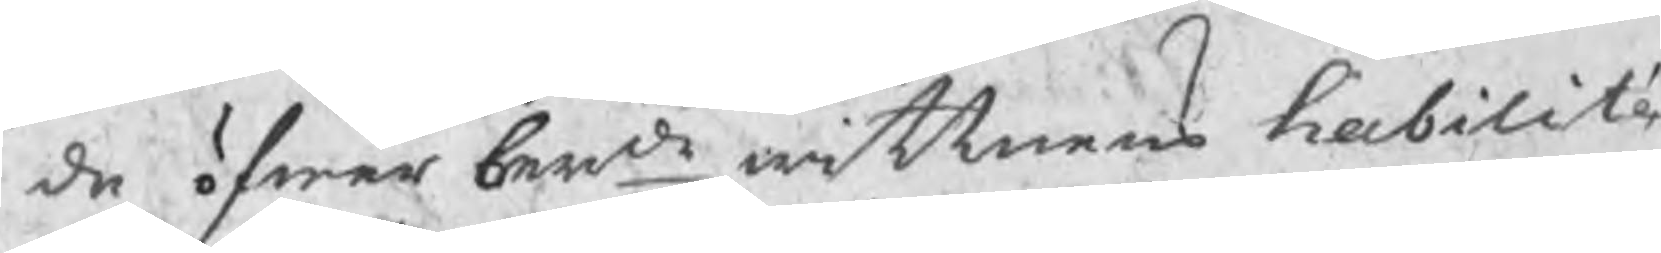de öfwer berde wittnens habilit
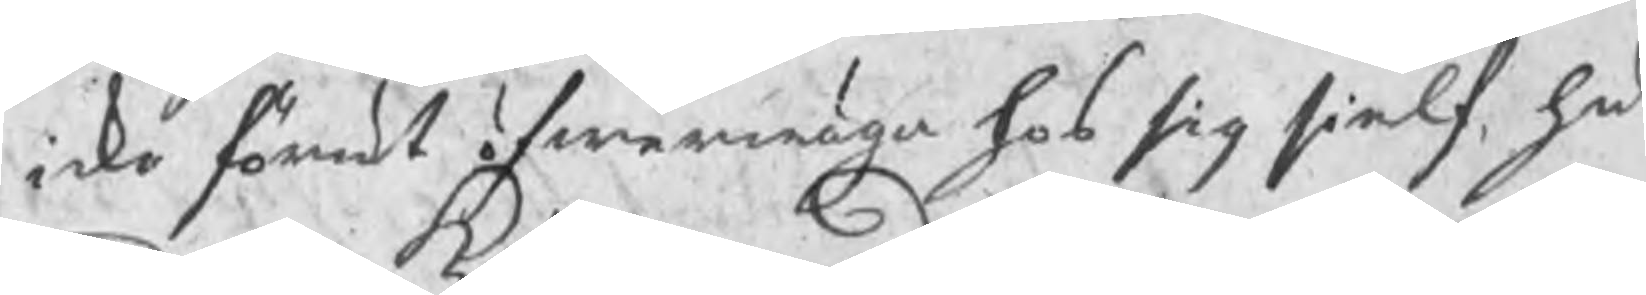icke förut öfwerwäga hos sig sielf, hu
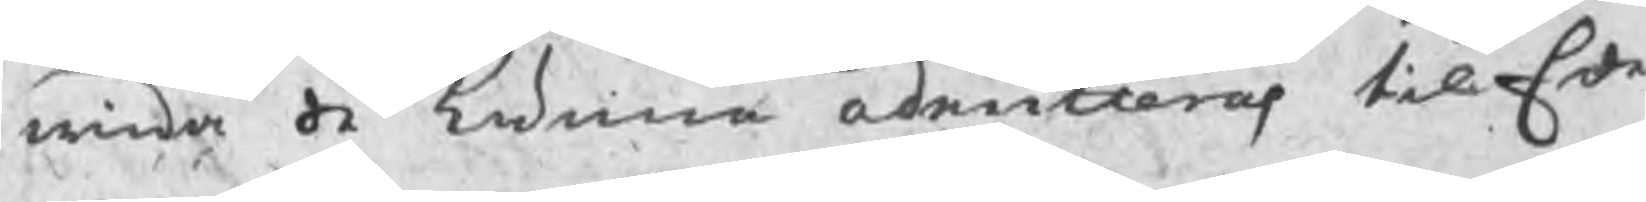wida de kunna admiteras til Ede
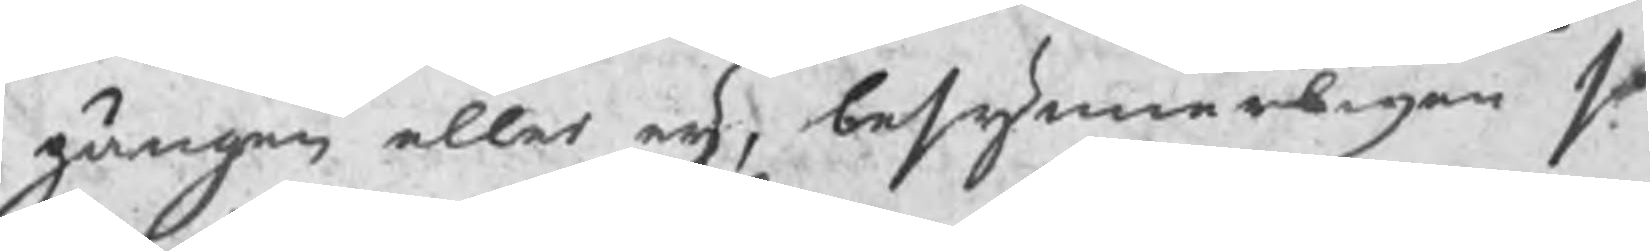gången eller eij, besynneligen so
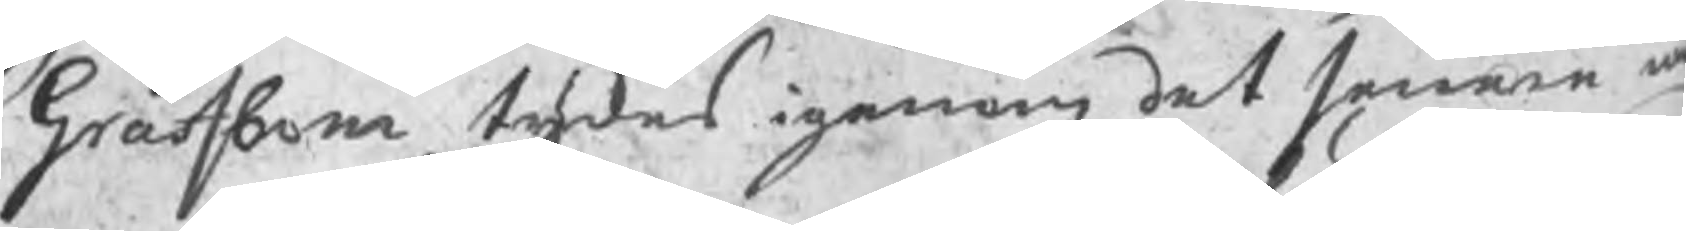Grafbom tykes igenom det senare w
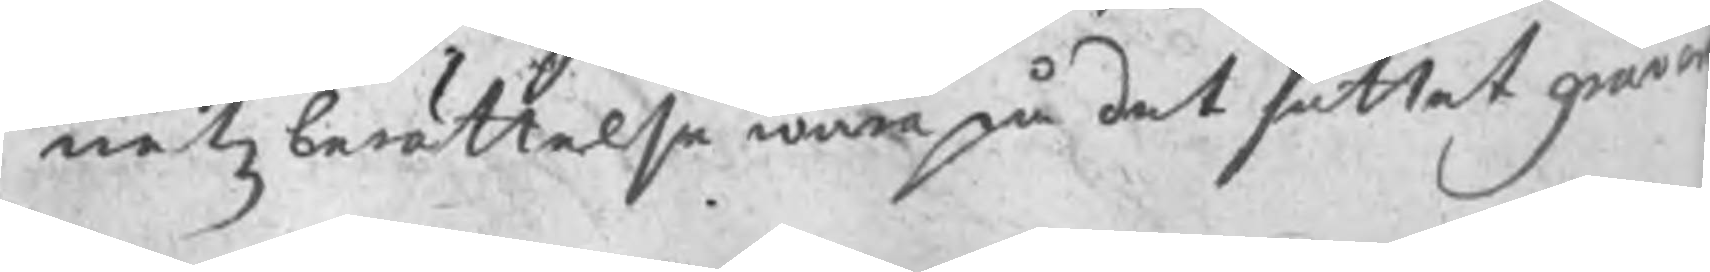netz berättelse wara på det sättet gra
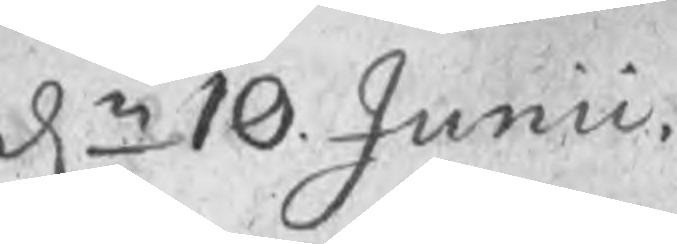dn 10 Junii
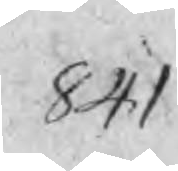841
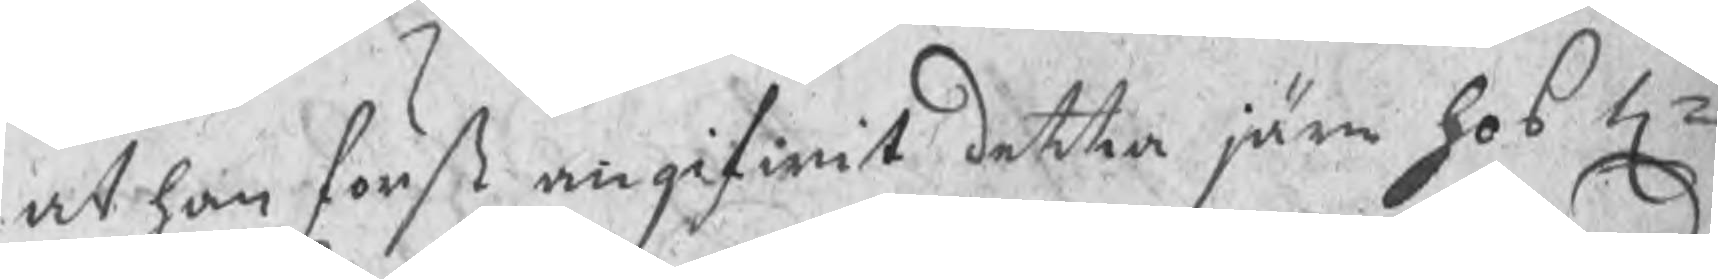at han först angifwit detta järn hos Hr
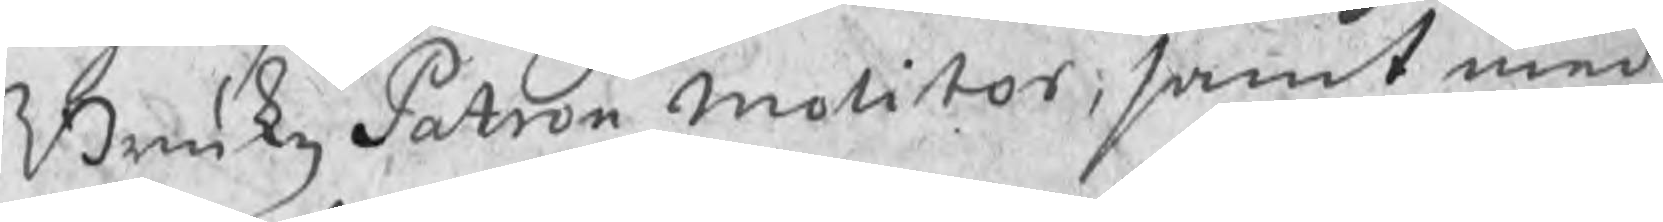BrukzPatron Molitor, samt med
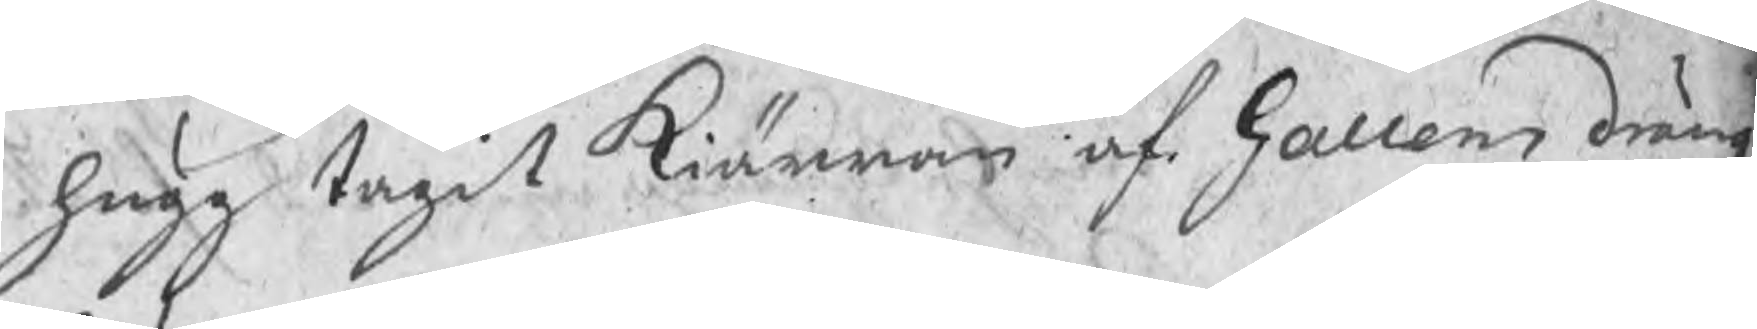hugg tagit kiärran af Gallens dräng.
